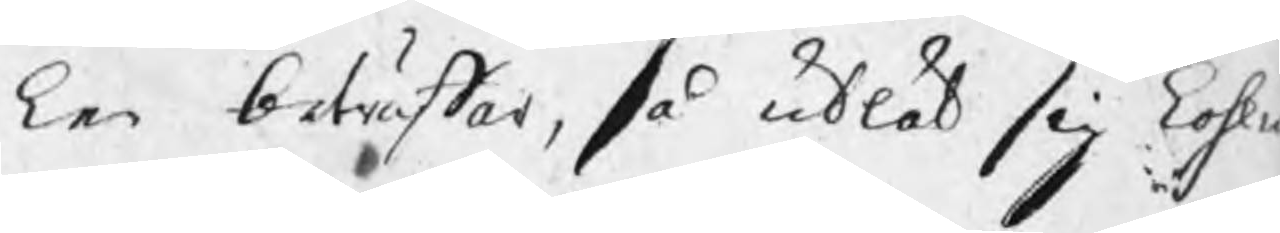ken beträffar, så utlät sig kohl¬
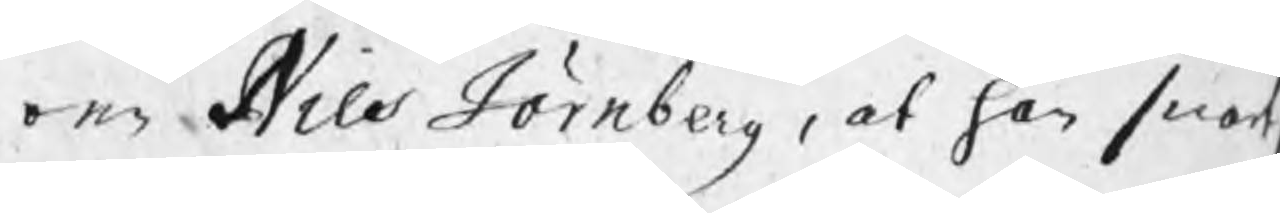ren Nils Jörnberg, at han snart,
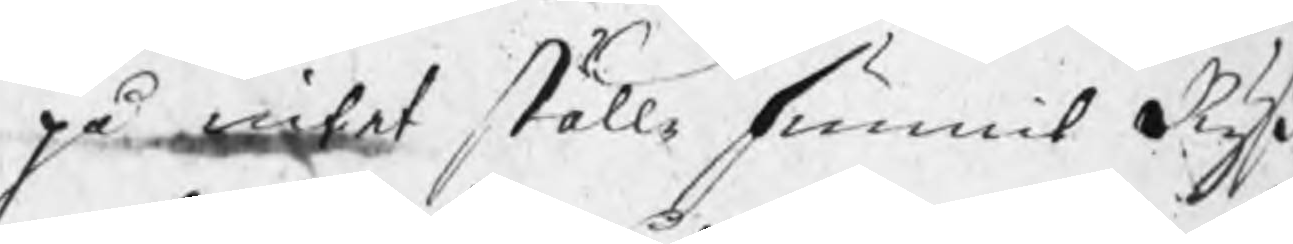på intet ställe funnit Ryß
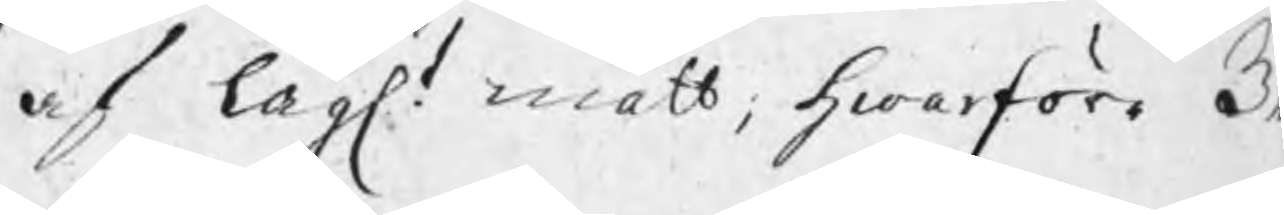af lagl. mått, hwarföre Be¬
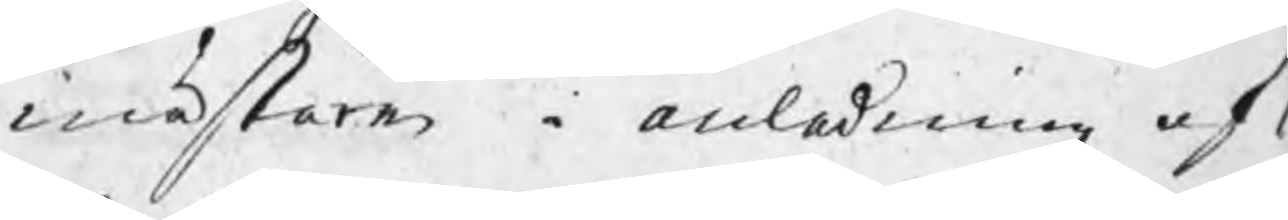mästaren i anledning af
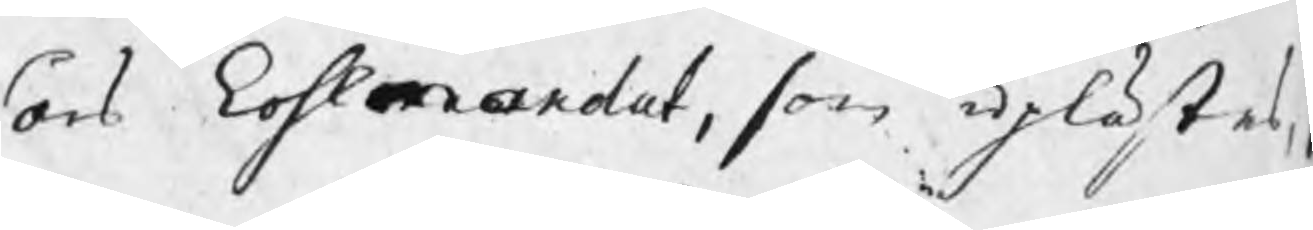års kohlmandat, som uplästes,
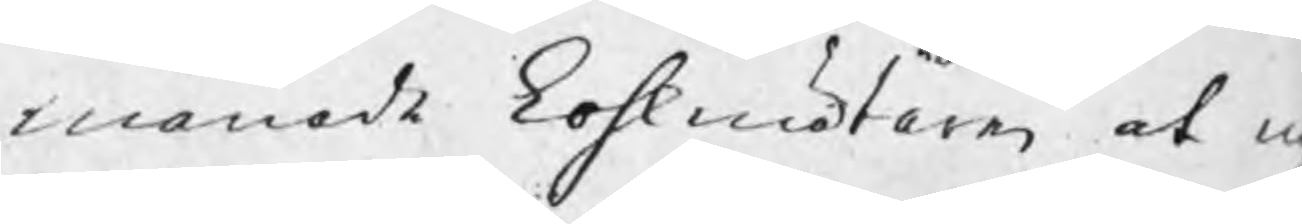manade kohlmätaren at n
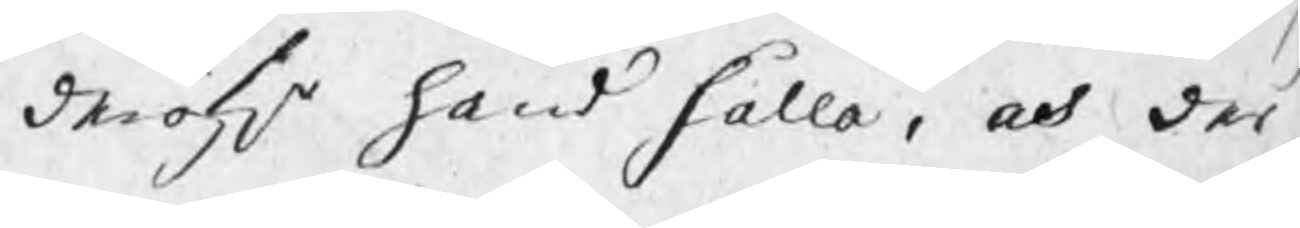deröfvr hand hålla, och der
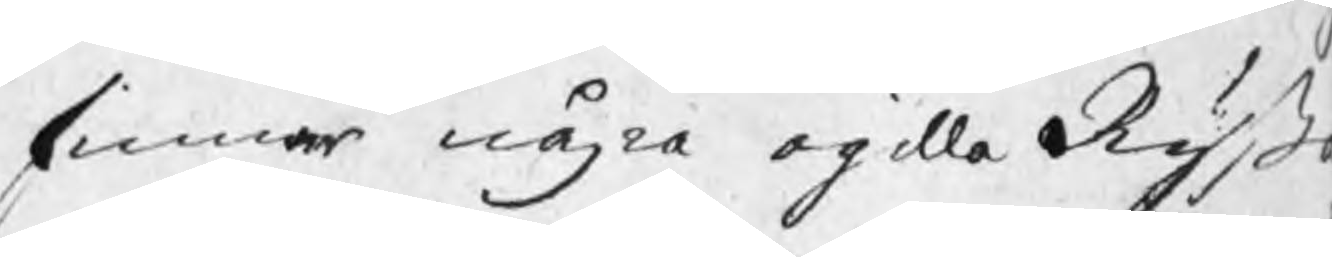finner några ogilla Ryßa
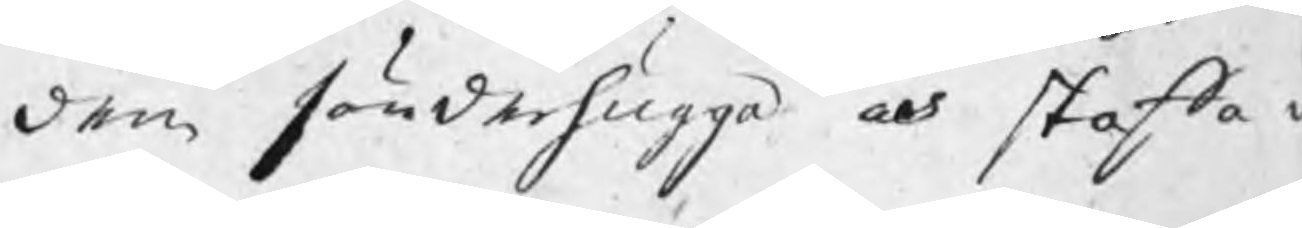dem sönderhugga och skaffa u
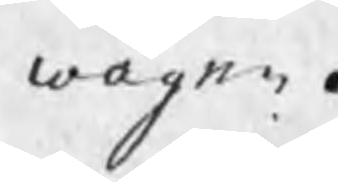wägen.
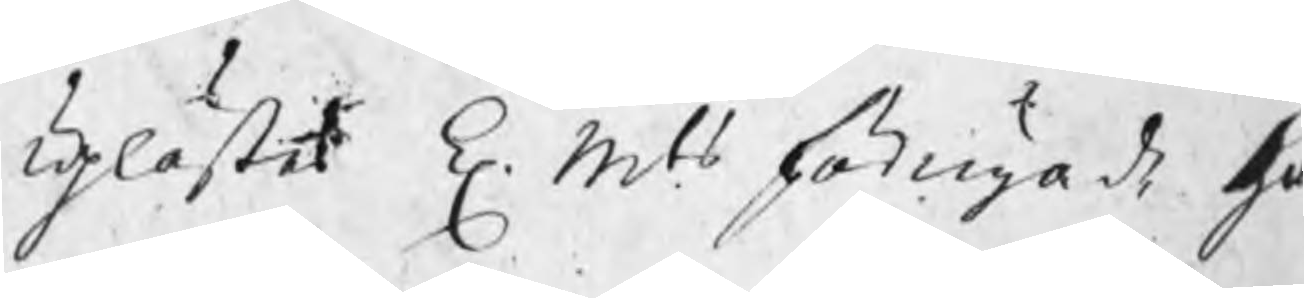Uplästes K. Mts förnyade Ha
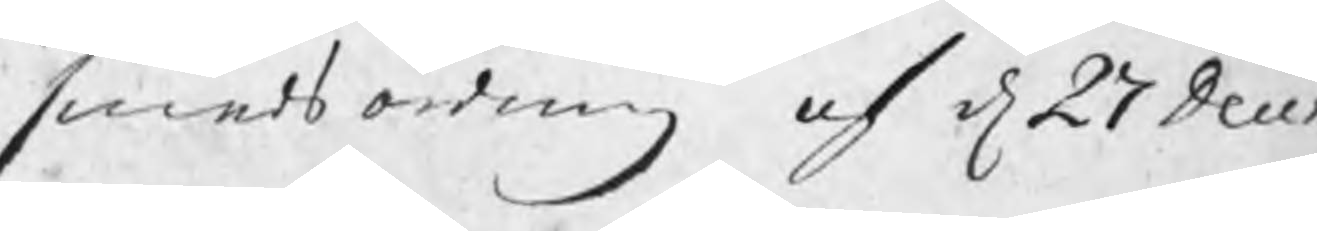smedsordning af d 27 Decem
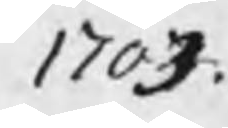1703.
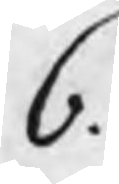6.
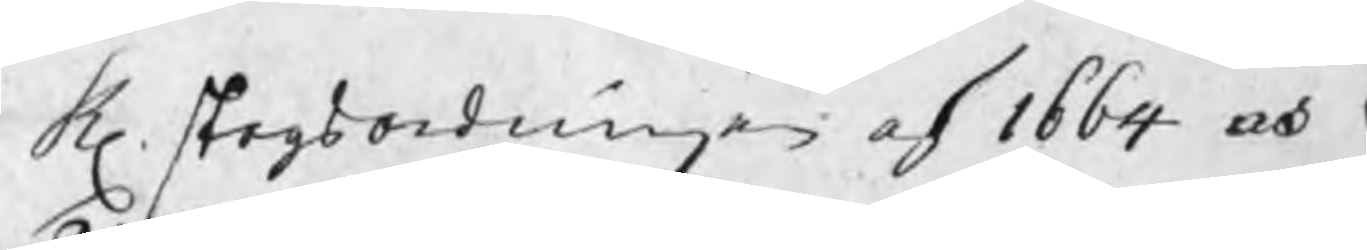K. skogsordningen af 1664 och
